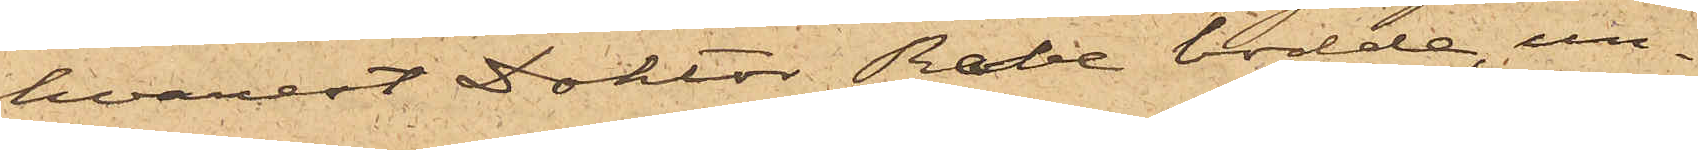hvarest Doktor Rabe bodde, un¬
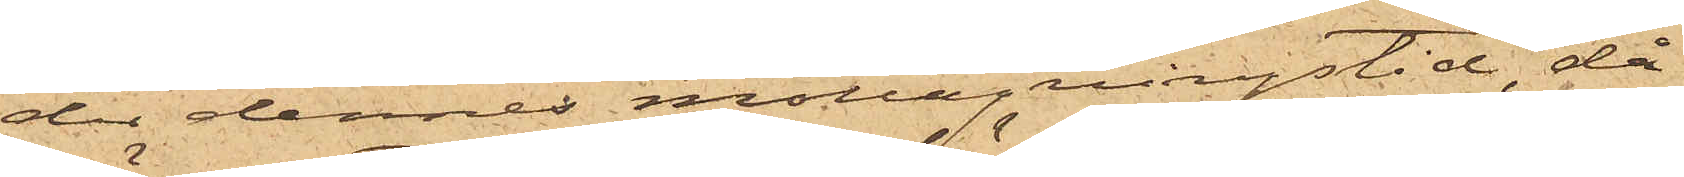der dennes mottagningstid, då
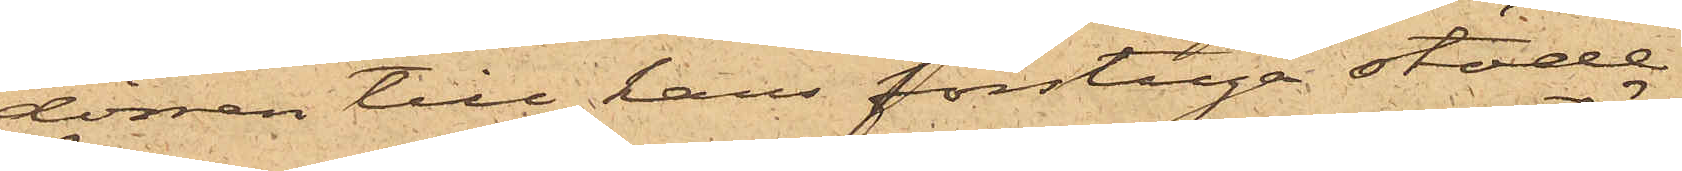dörren till hans förstuga stode
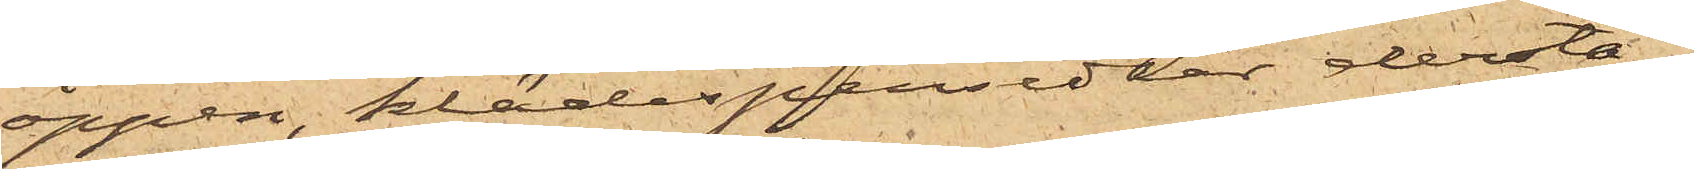öppen, klädespersedlar derstä¬
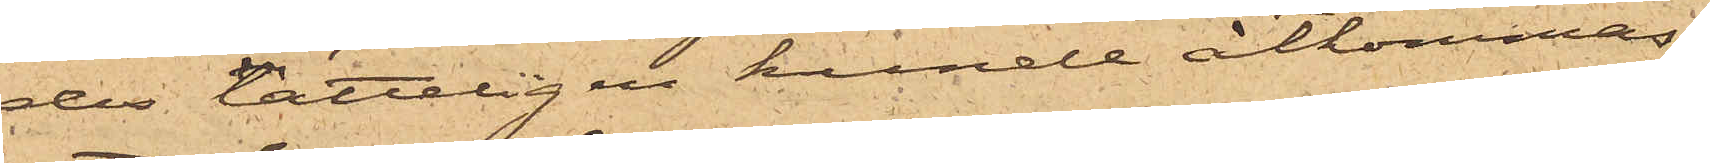des lätteligen kunde åtkommas;
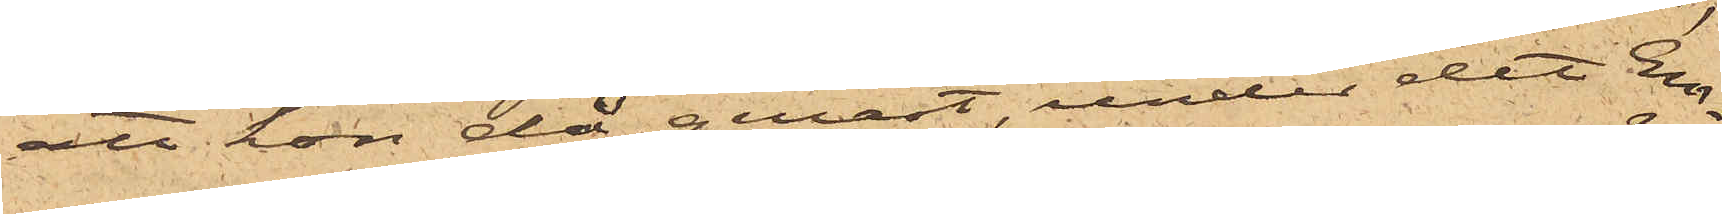att hon då genast, under det Em¬
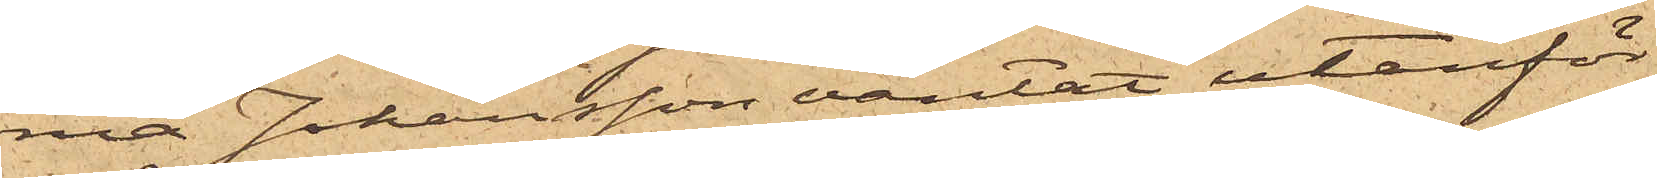ma Johansson väntat utanför
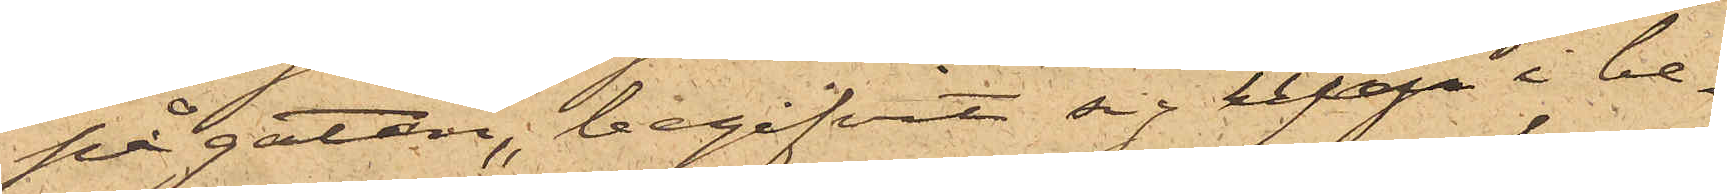på gatan, begifvit sig upp i be¬
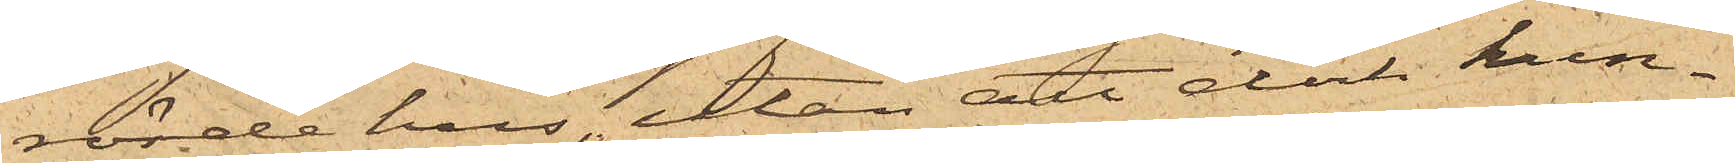rörde hus, utan att dock kun¬
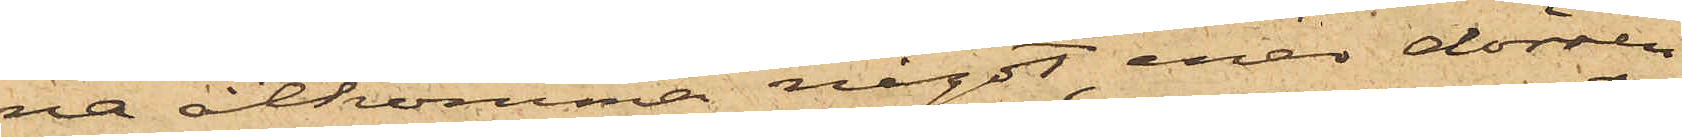na åtkomma något, enär dörren
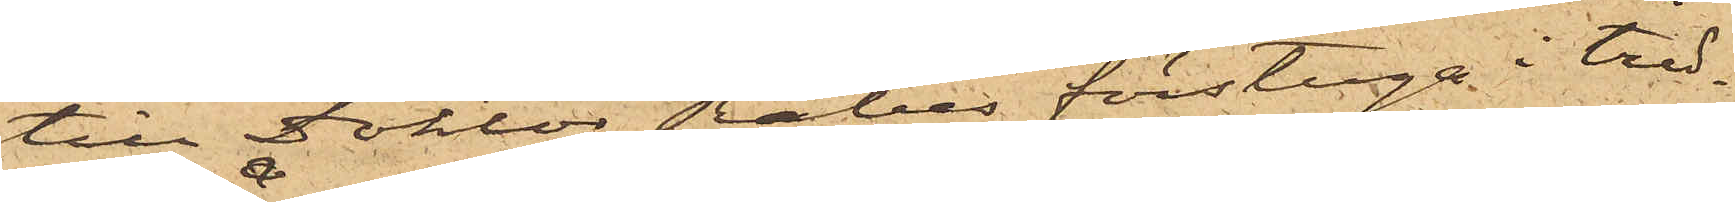till Doktor Rabes förstuga i tred¬
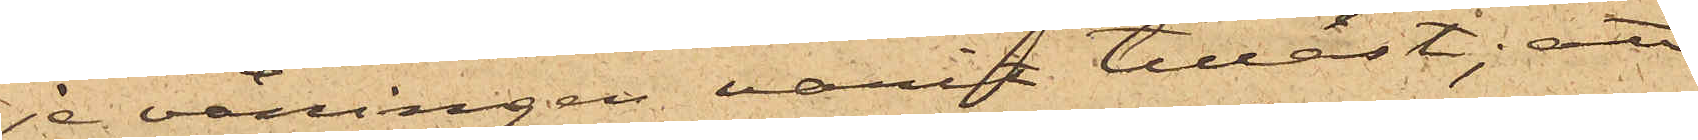je våningen varit tillåst; att
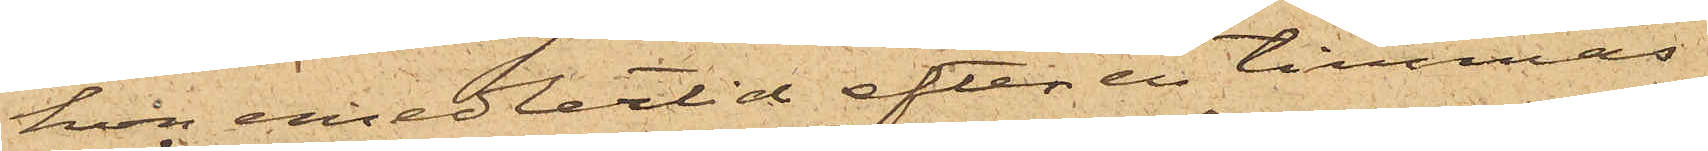hon emedlertid efter en timmas
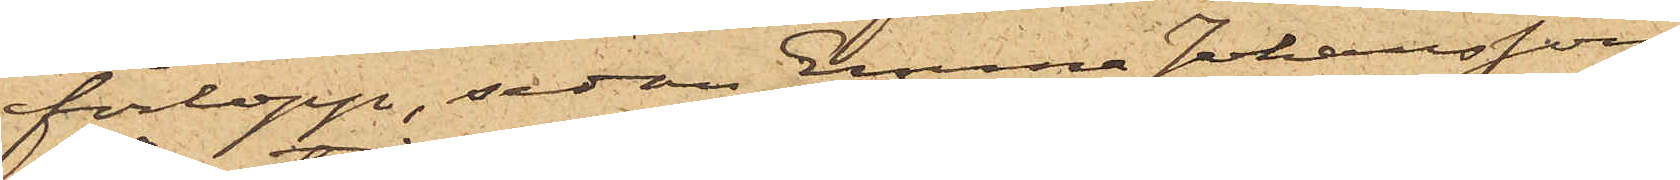förlopp, sedan Emma Johansson
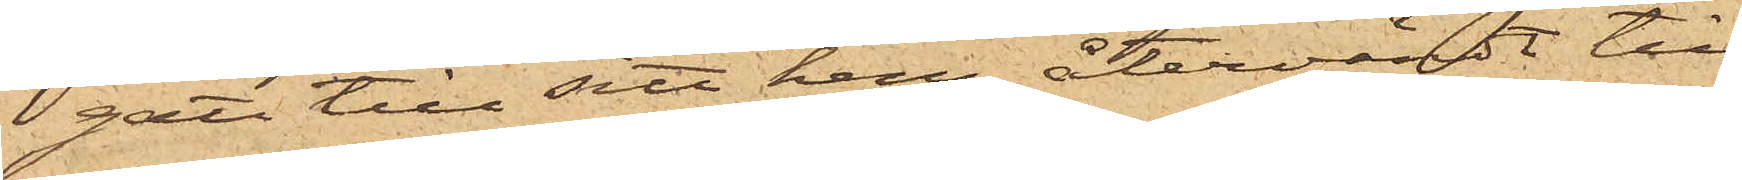gått till sitt hem, återvändt till
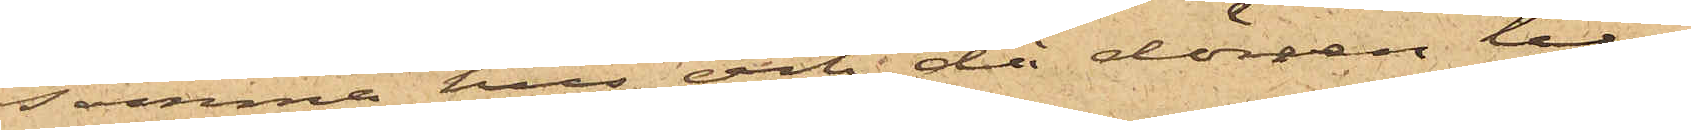samma hus och då dörren till
